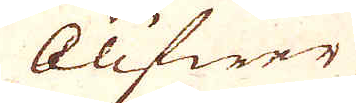blifwer
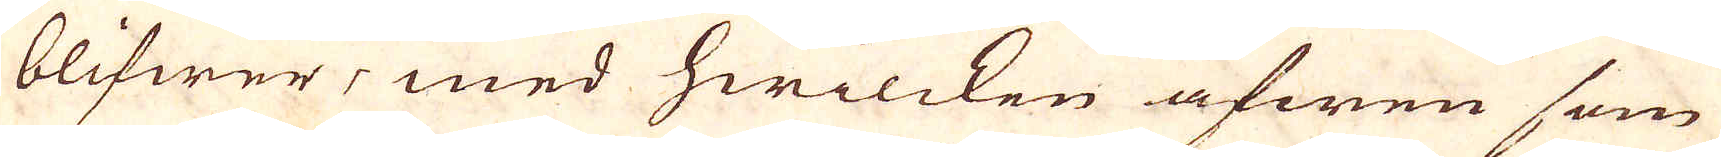blifwer, med hwilcken äfwen som
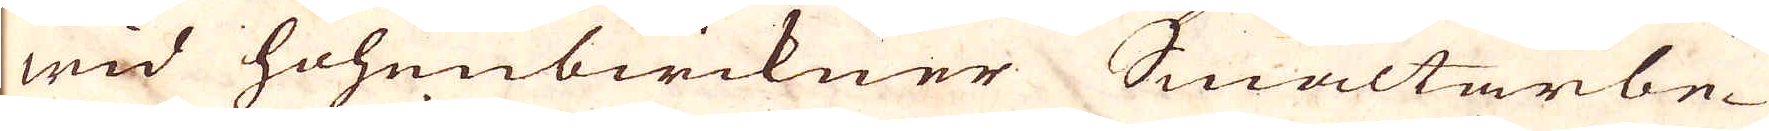wid hohembirikner Smältarbe-
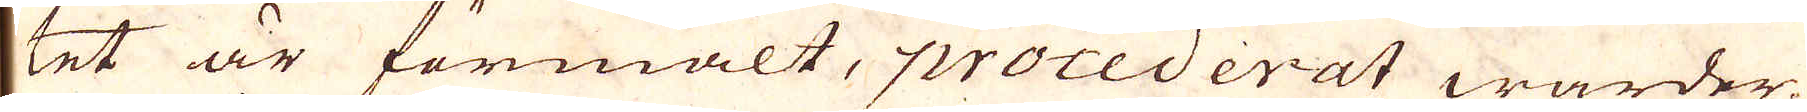tet är förmält, procederat warden.
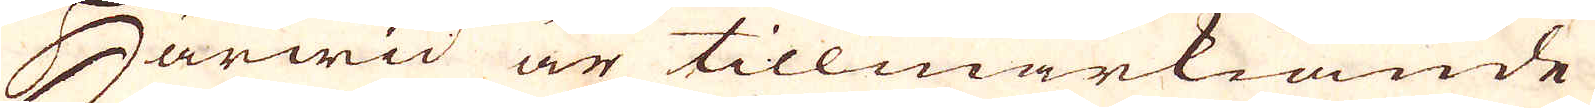Härwid är tillwärkiande
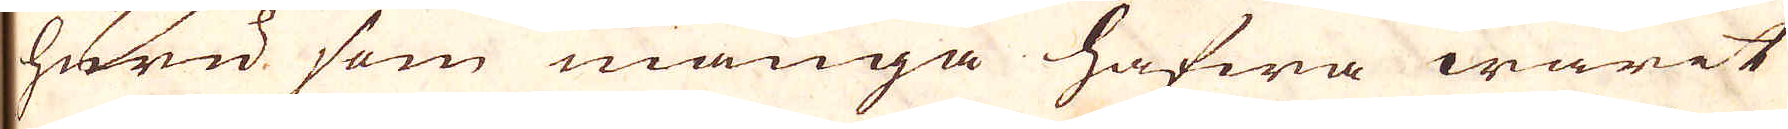huru som många hafwa warit
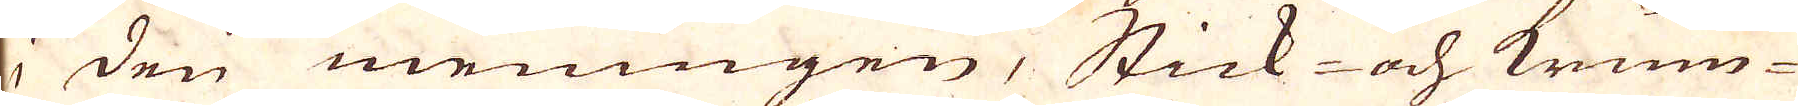i den meningen, Stick och krum-
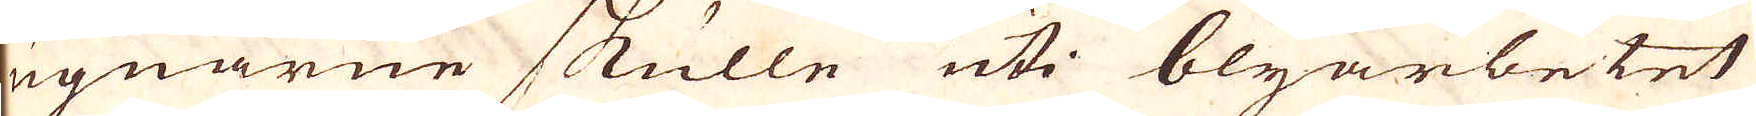ugnarne skulle uti blyarbetet
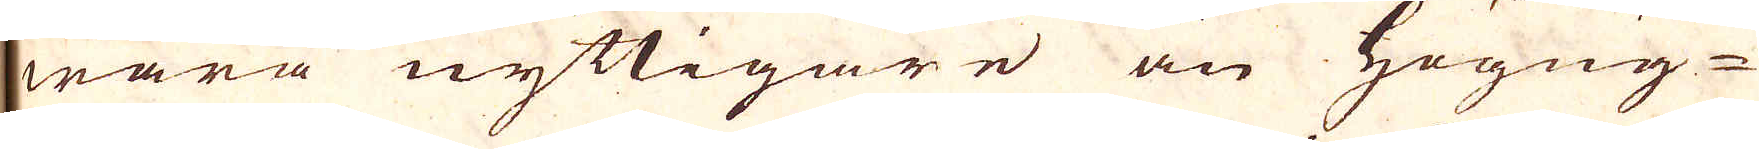wara nyttigare än högug-
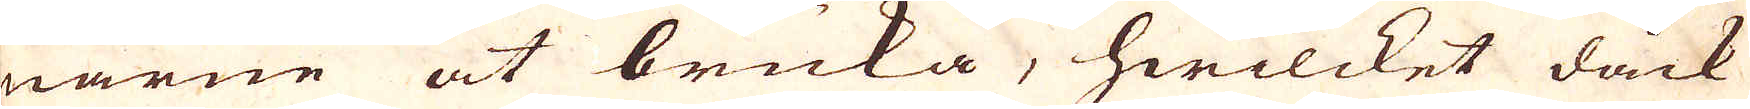narne at bruka, hwilcket dåck
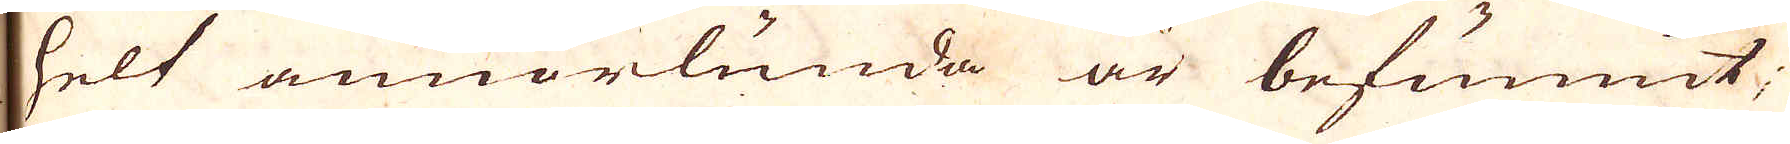helt annorlunda är befunnit,
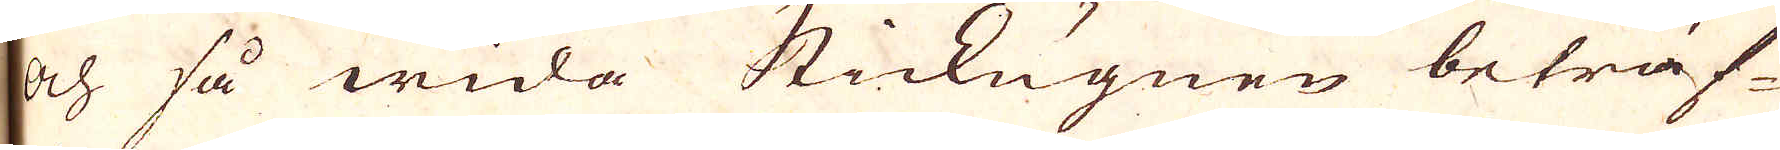och så wida Stickugnen beträf-
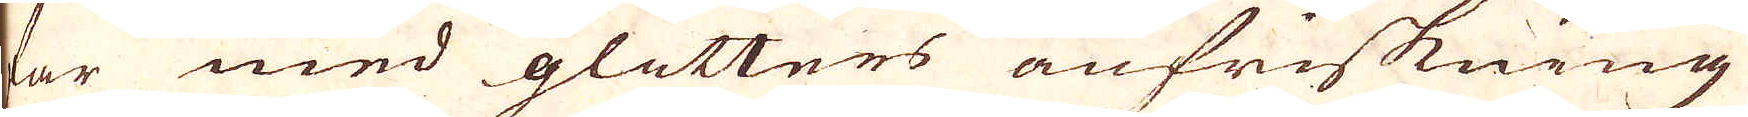far med glitters anfriskning
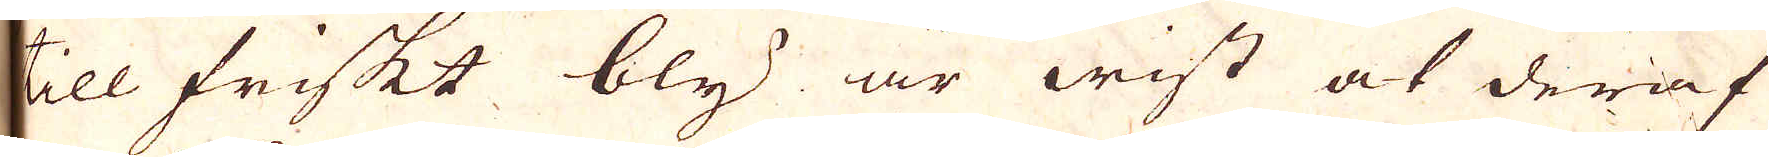till friskt bly är wist at deraf
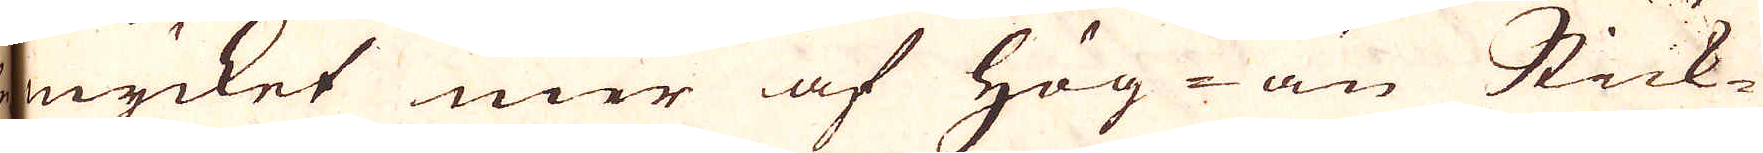mycket mer af Hög- än Stick-
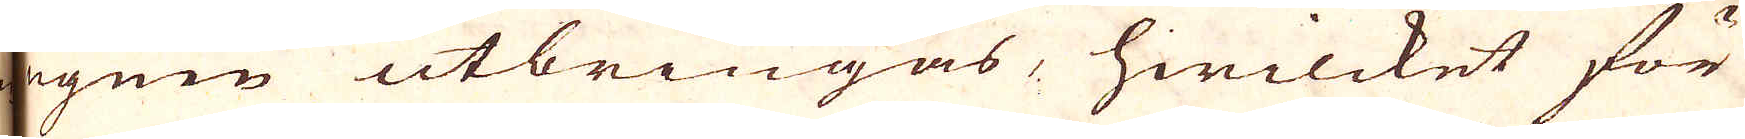ugnen utbringas, hwilcket för
